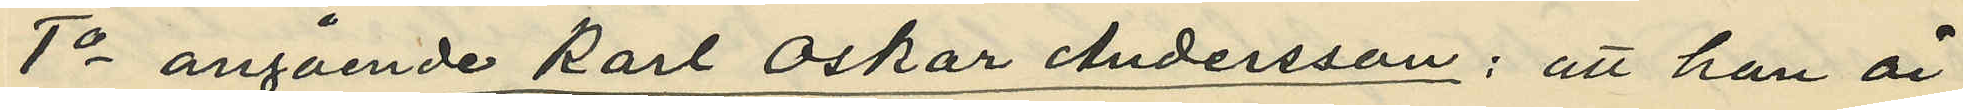1o angående Karl Oskar Andersson: att han är
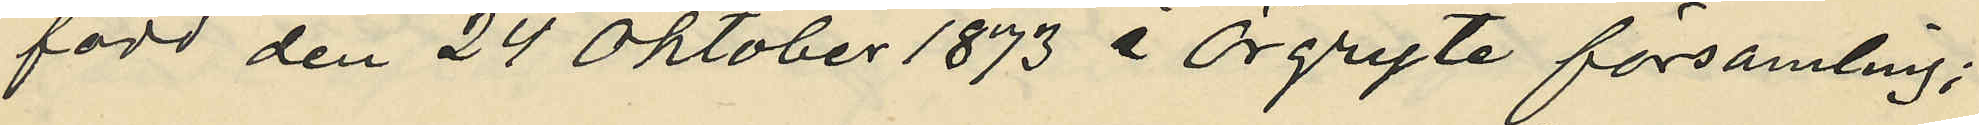född den 24 Oktober 1873 i Örgryte församling;
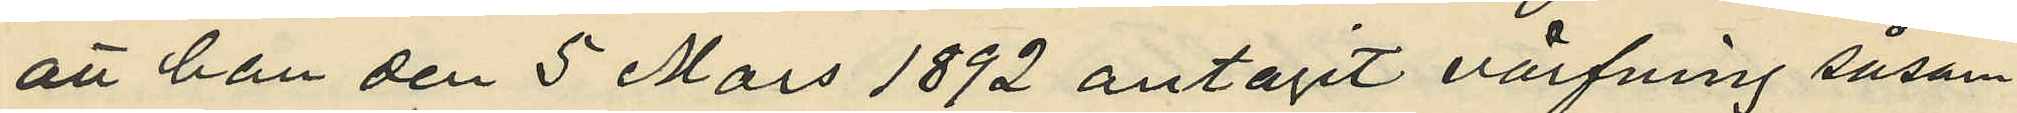att han den 5 Mars 1892 antagit värfning såsom
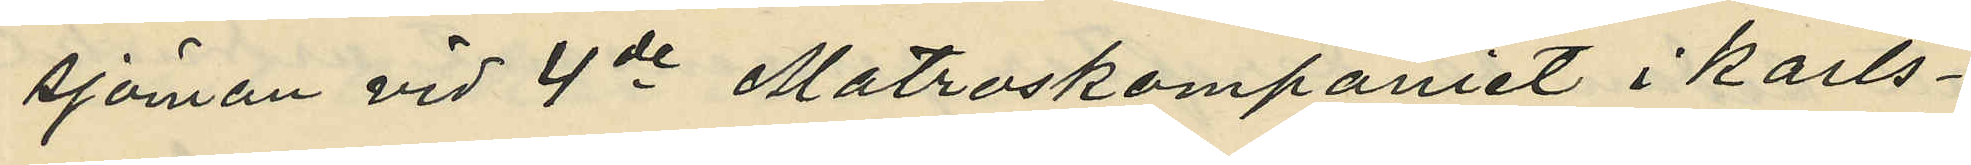sjöman vid 4de Matroskompaniet i Karls¬
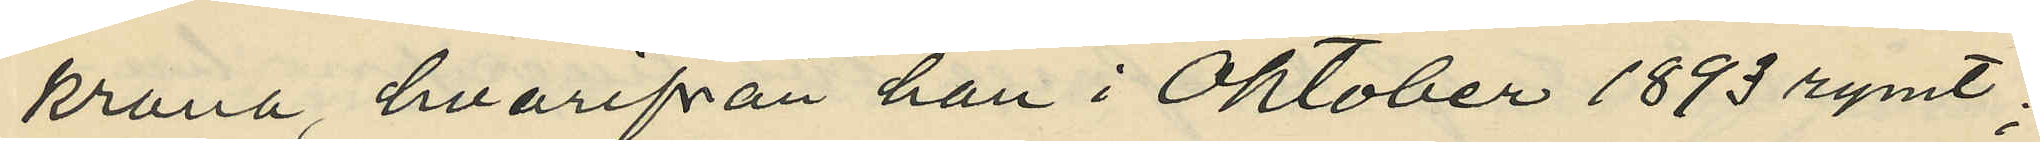krona, hvarifrån han i Oktober 1893 rymt;
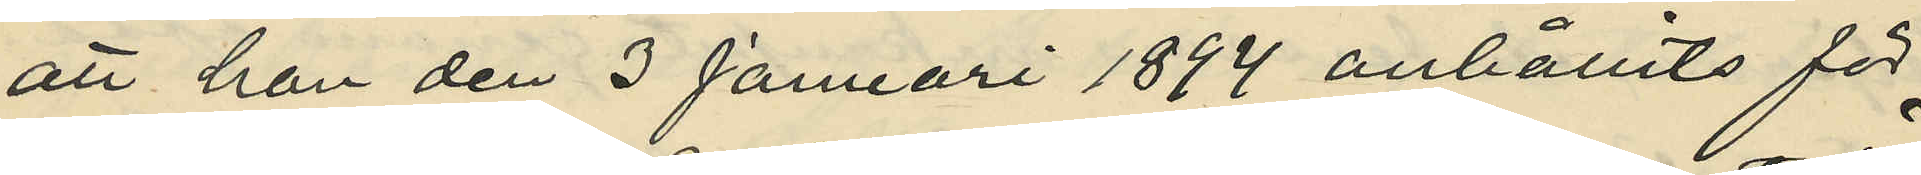att han den 3 Januari 1894 anhållits för
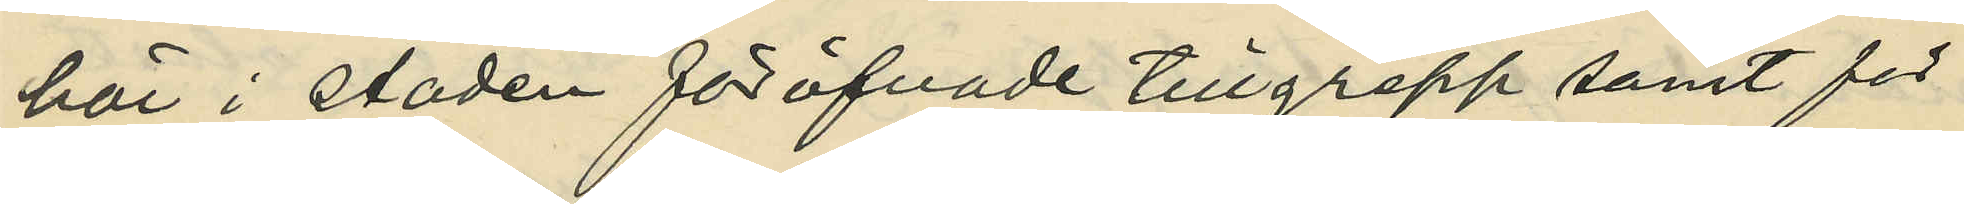här i staden föröfvade tillgrepp samt för
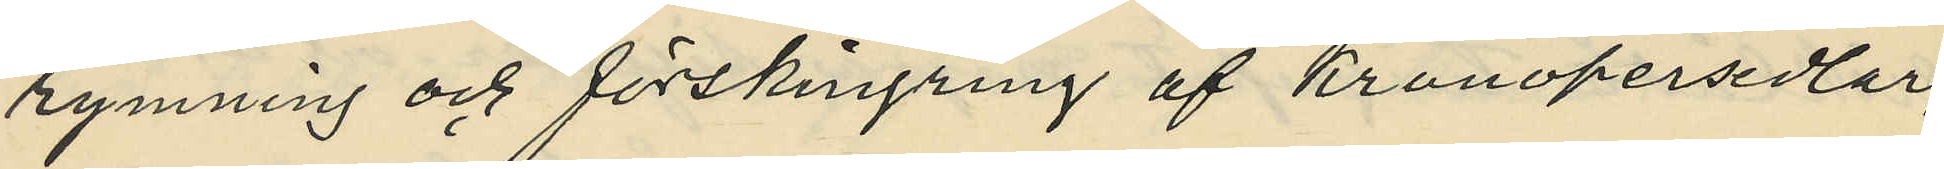rymning och förskingring af Kronopersedlar,
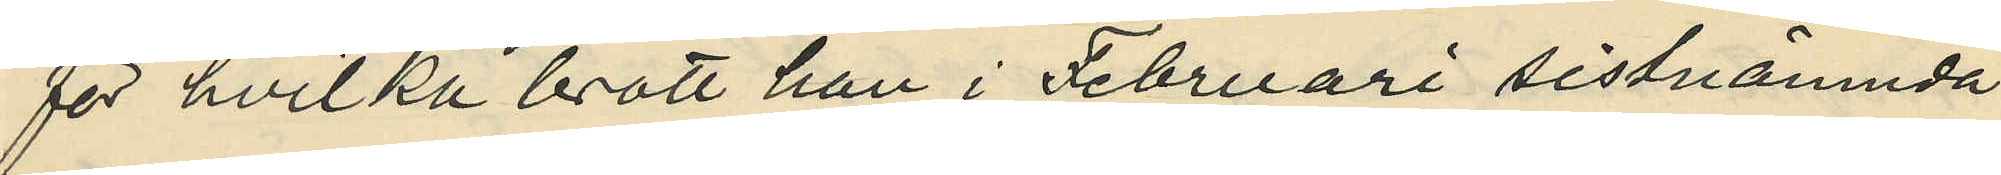för hvilka brott han i Februari sistnämnda
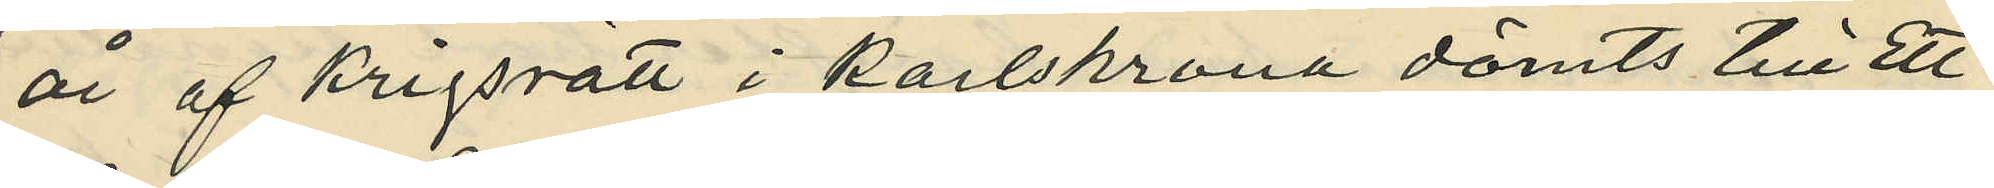år af Krigsrätt i Karlskrona dömts till ett
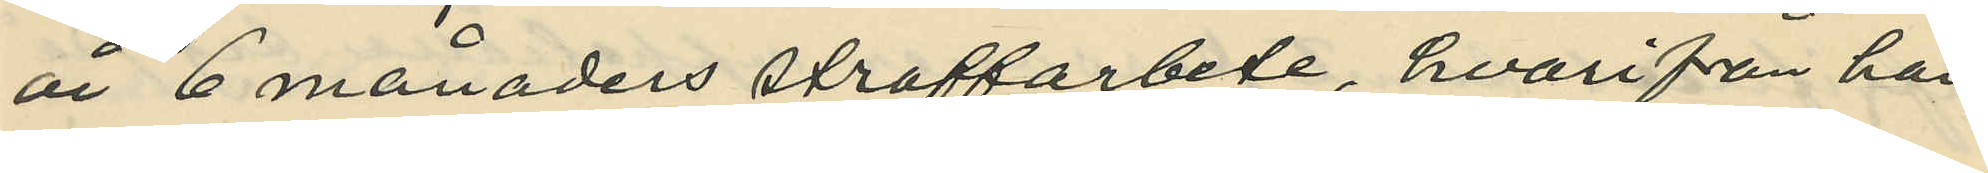år 6 månaders straffarbete, hvarifrån han
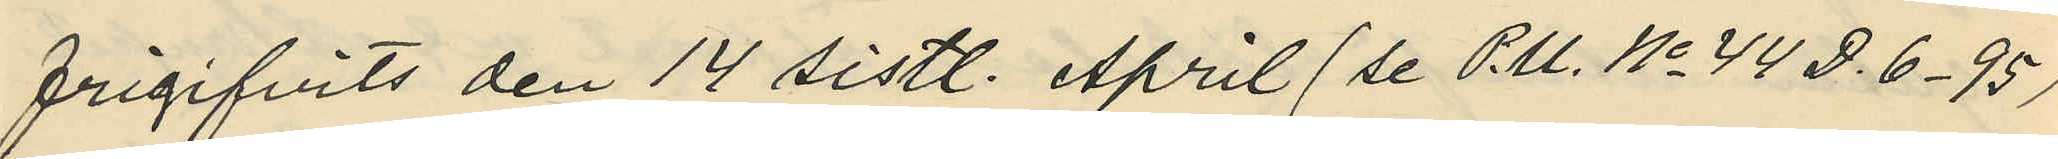frigifvits den 14 sistl. April (se P.U. No 44 D. 6. 95)
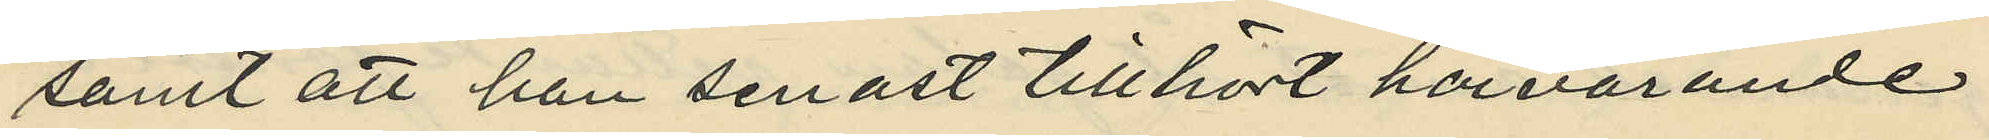samt att han senast tillhört härvarande
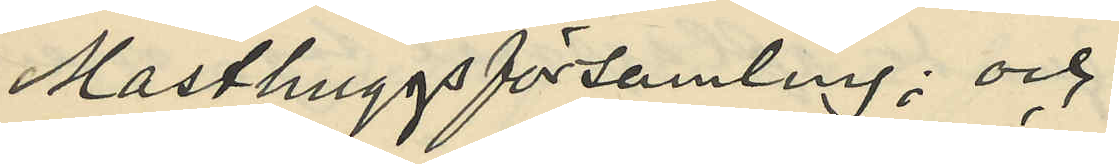Masthuggsförsamling; och
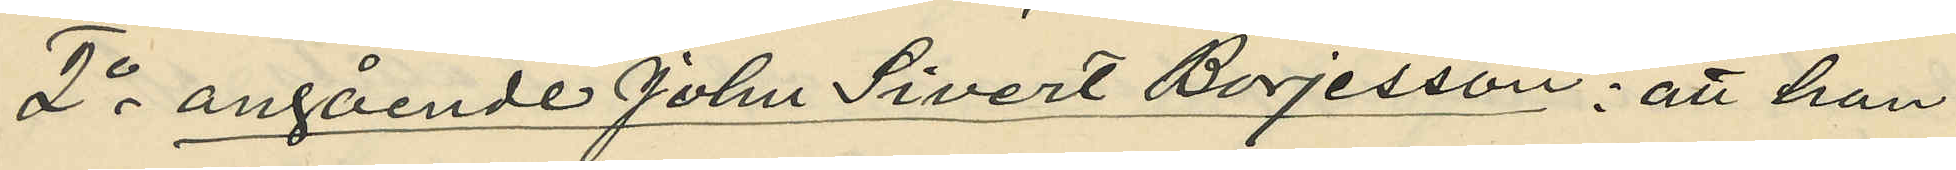2o angående John Sivert Börjesson: att han
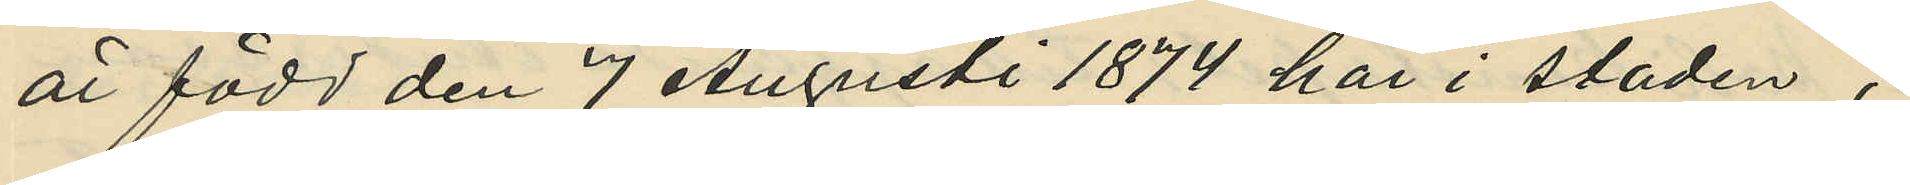är född den 7 Augusti 1874 här i staden;
